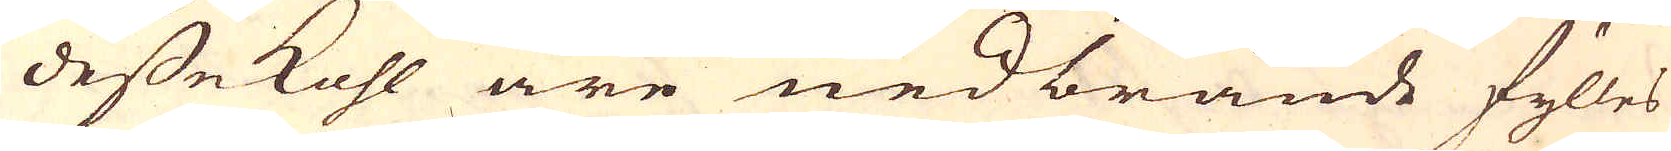desse kohl äre nedbrände fylles
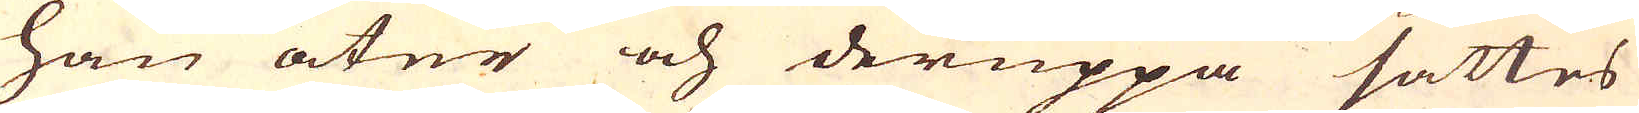han åter och deruppå sättes
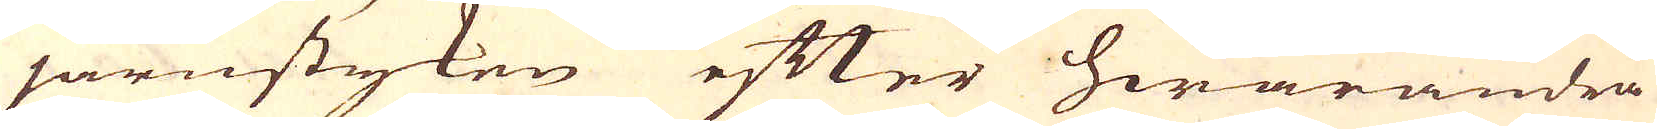järnstyken efter hwarandra
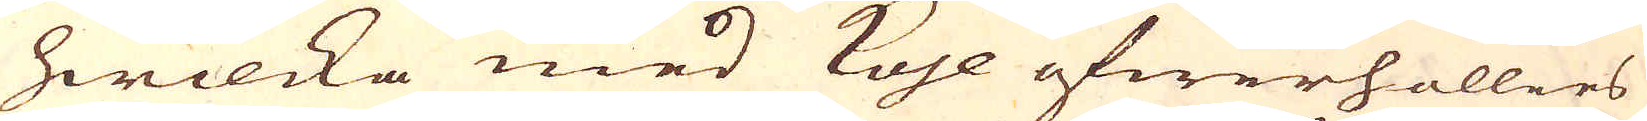hwilcka med kohl öfwerhållies
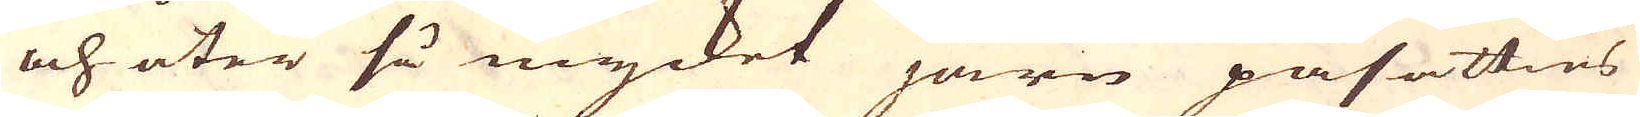och åter så mycket järn påsätties
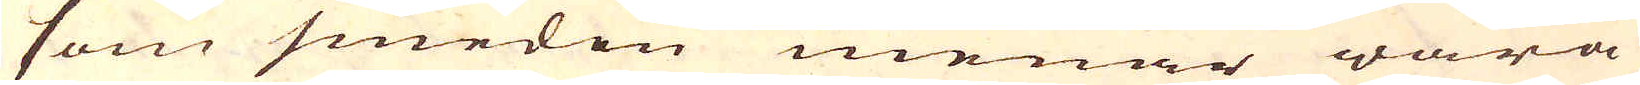som smeden menar wara
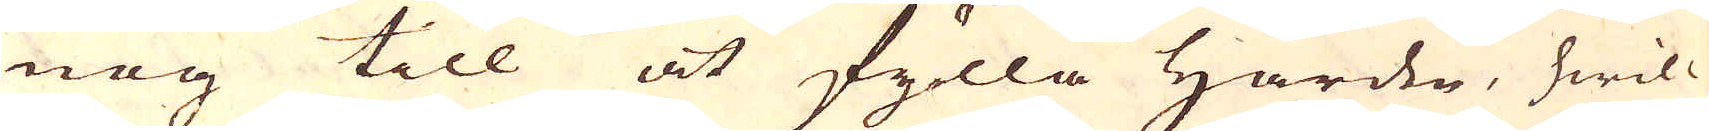nog till at fylla Härden, hwil-
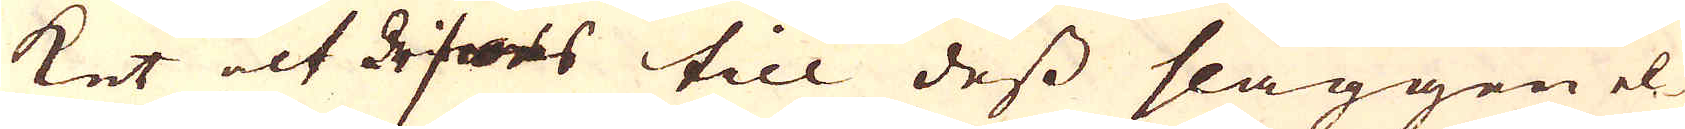ket alt till dess slaggen el-
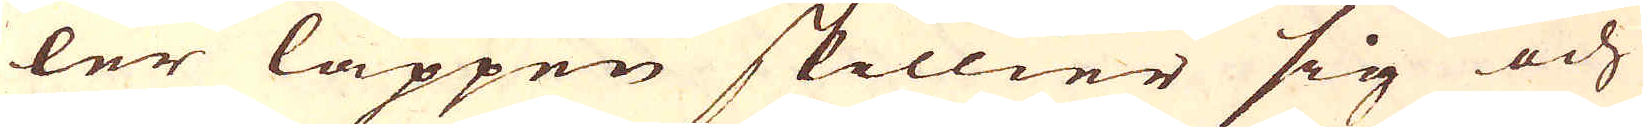ler låppen skillier sig och
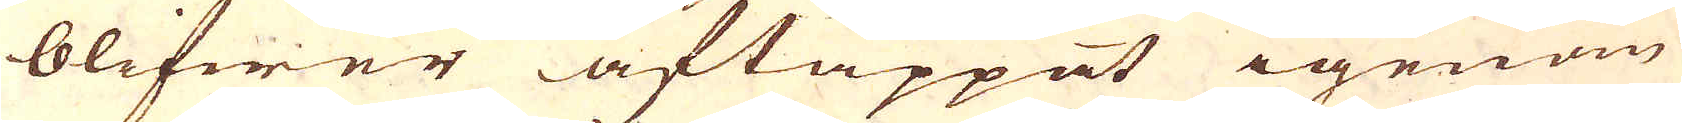blifwer aftappat igenom
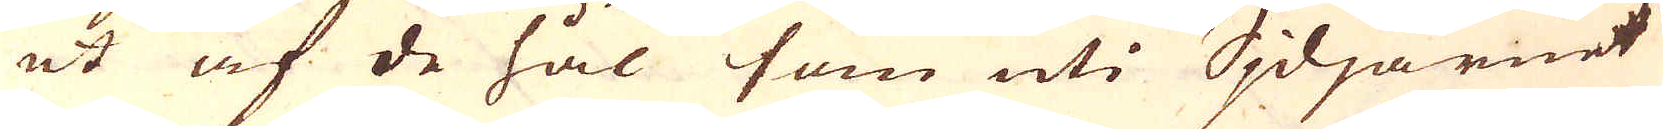ut af de hål som uti Sjdjärnet
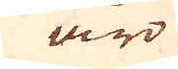äro
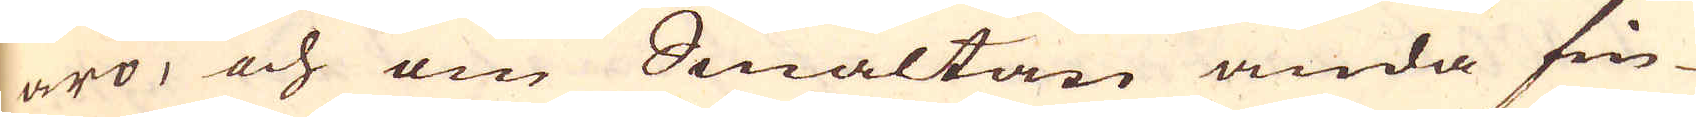äro, och om Smältan ända fin-
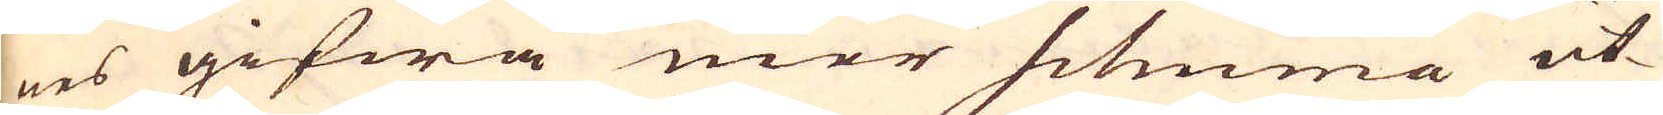nes gifwa mer schuma ut-
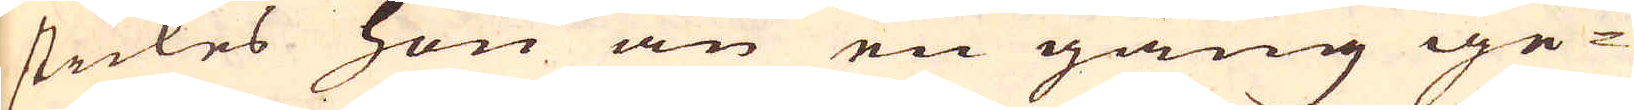stickes hon än en gång ige-
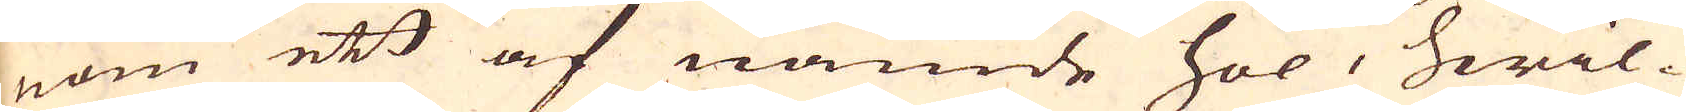nom ett af nämde hol, hwil-
